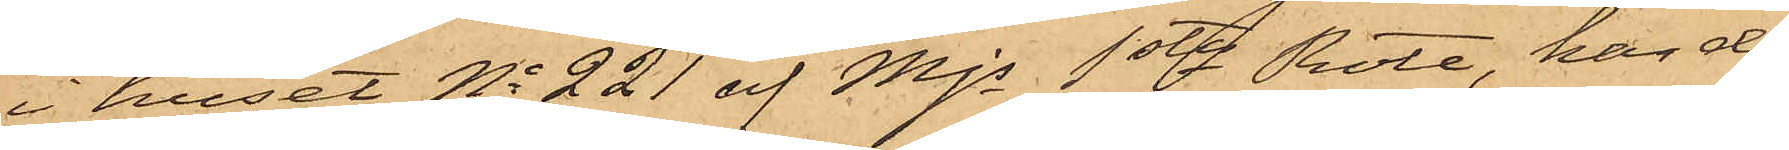i huset No 221 af Mjs 1sta Rote, har den
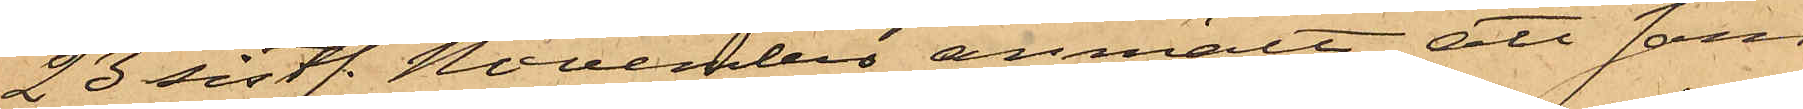23 sistl. November anmält att sam¬
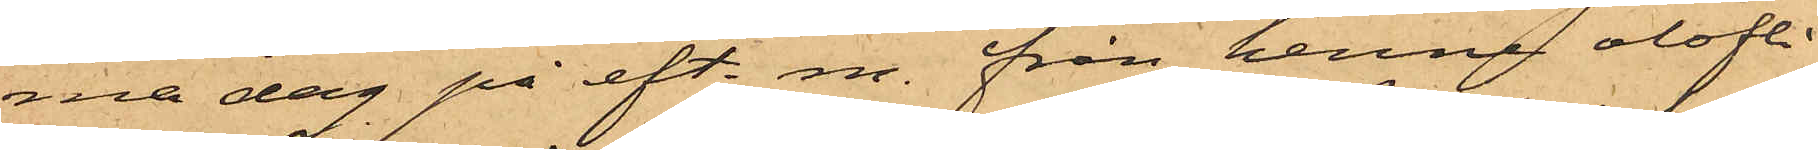ma dag på eft. m. från henne olofli¬
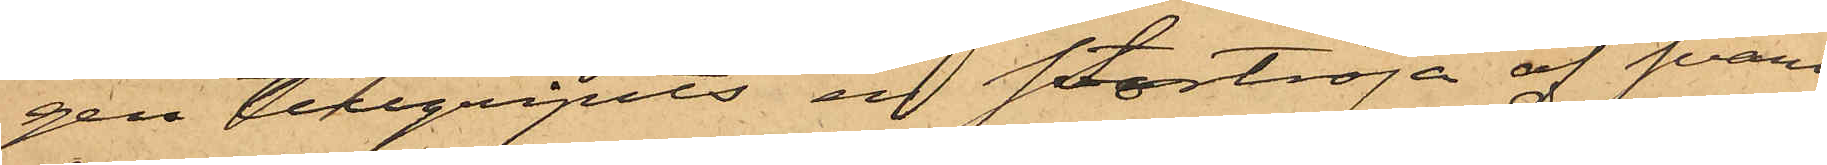gen tillgripits en stortröja af svart
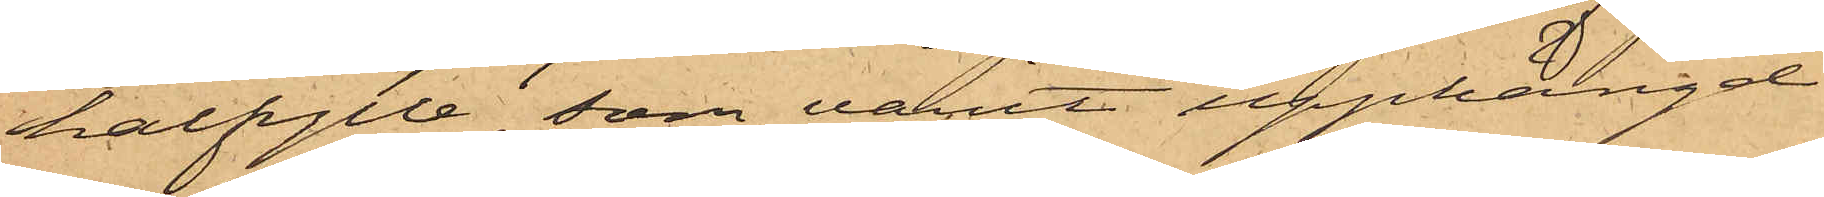halfylle, som varit upphängd
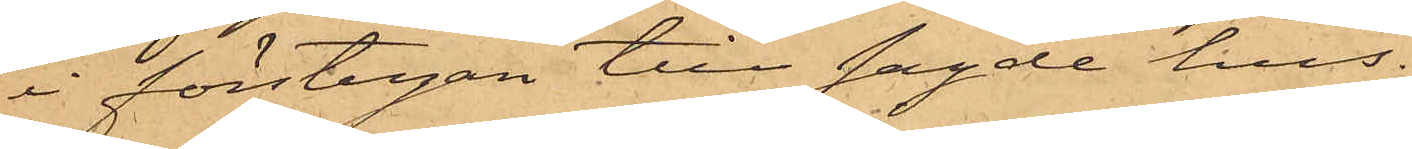i förstugan till sagde hus.
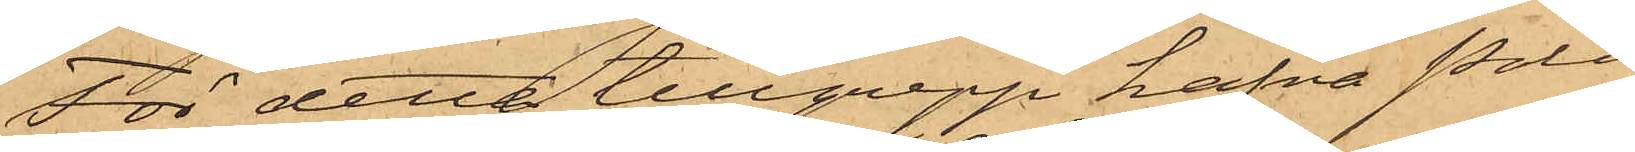För detta tillgrepp hafva Polis¬
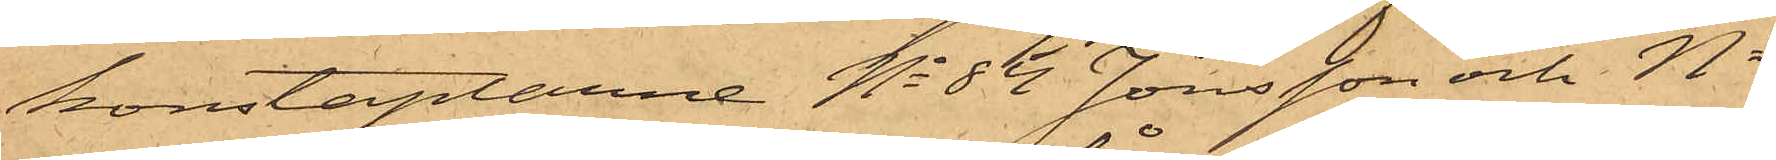konstaplarne No 85 Jönsson och No
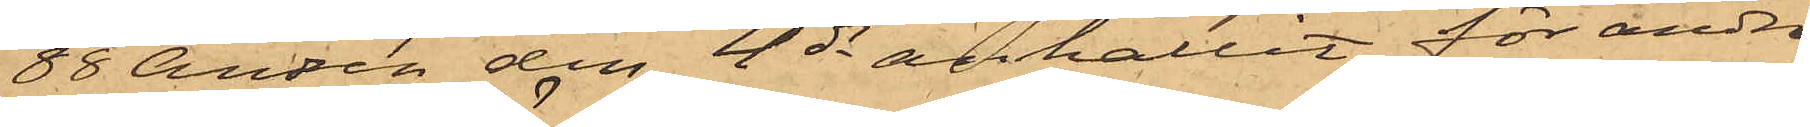88 Andrén den 4 ds anhållit för andra
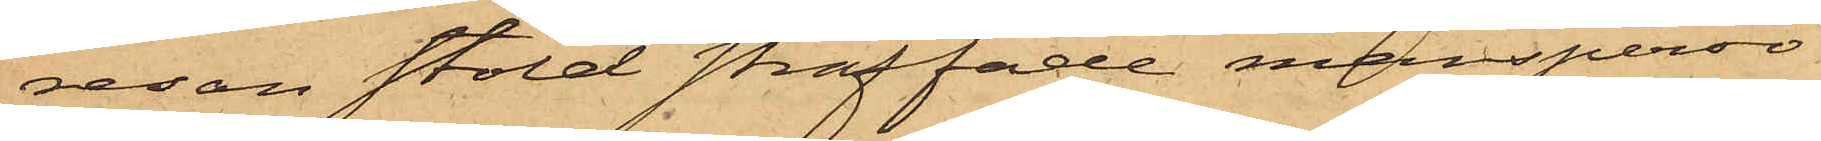resan stöld straffade mansperso¬
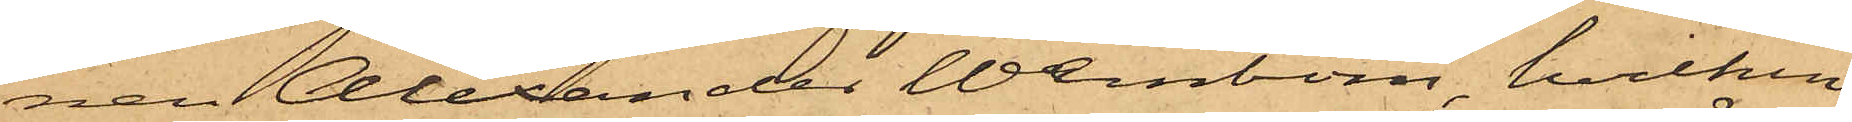nen Alexander Wernbom, hvilken
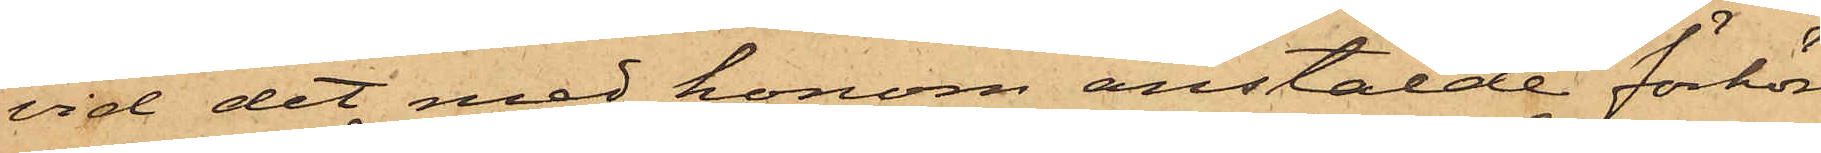vid det med honom anstälde förhör
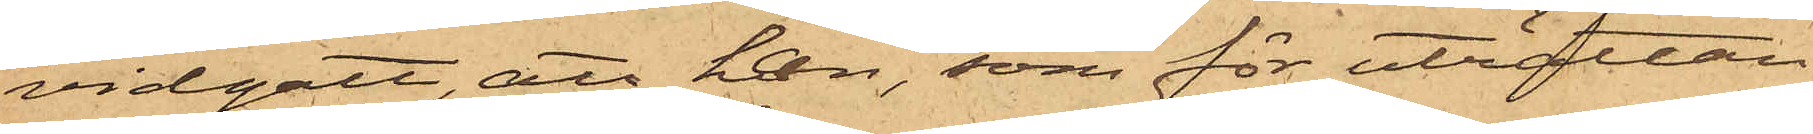vidgått, att han, som för uträttan¬
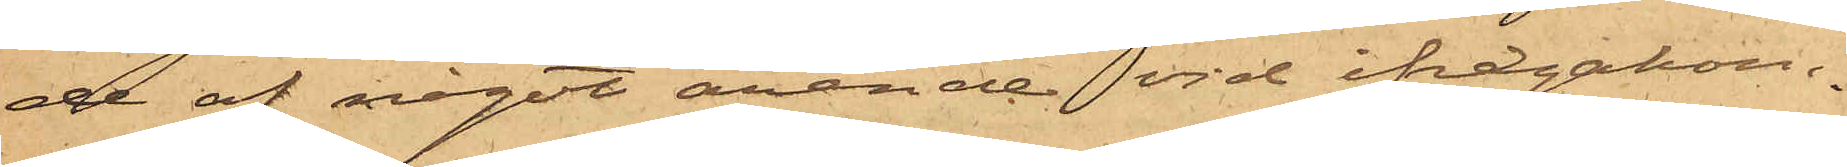de af något ärende vid ifrågakom¬
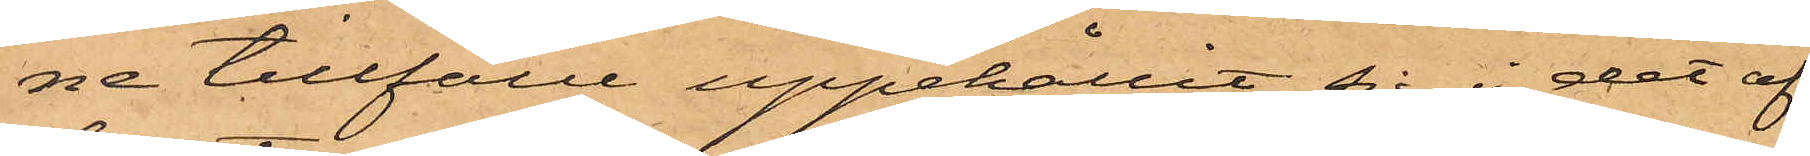ne tillfälle uppehållit sig i det af
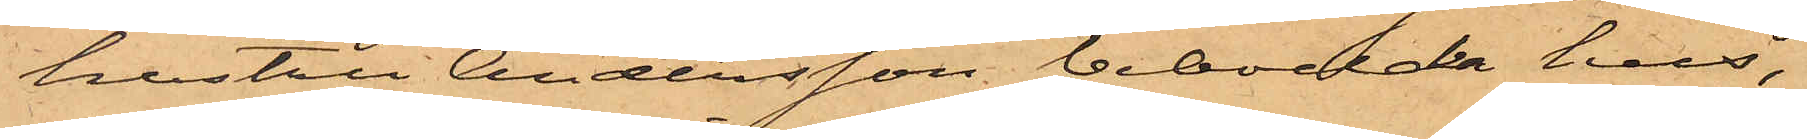hustru Andersson bebodda hus,
